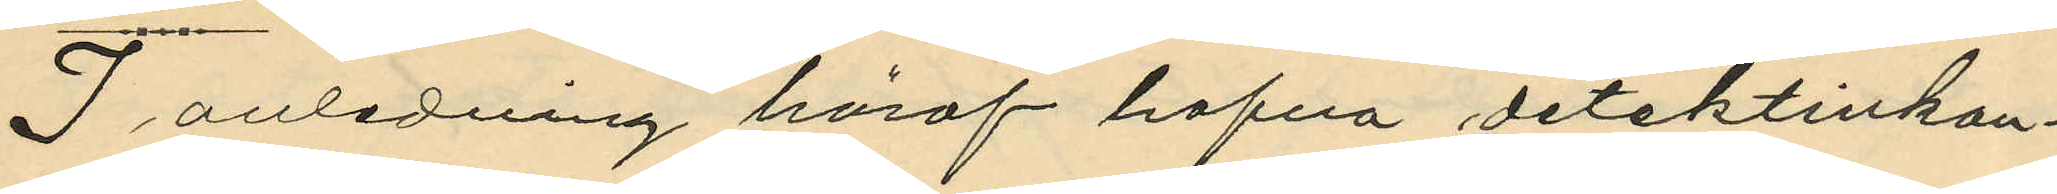I anledning häraf hafva detektivkon¬
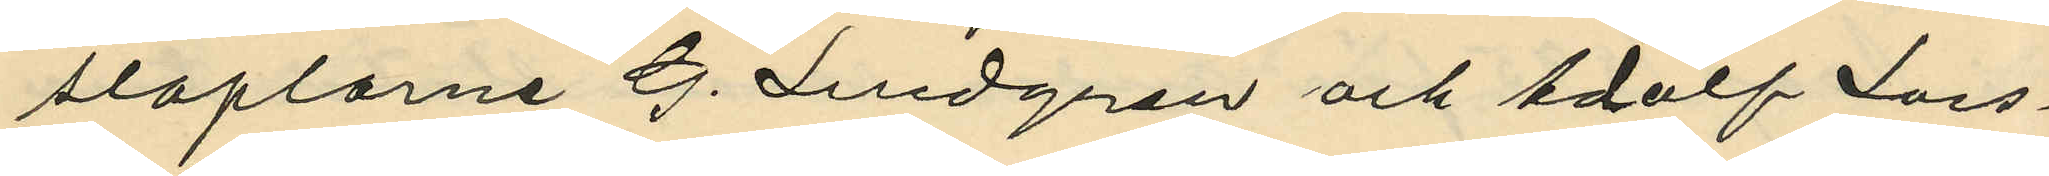staplarne G. Lindgren och Adolf Lars¬
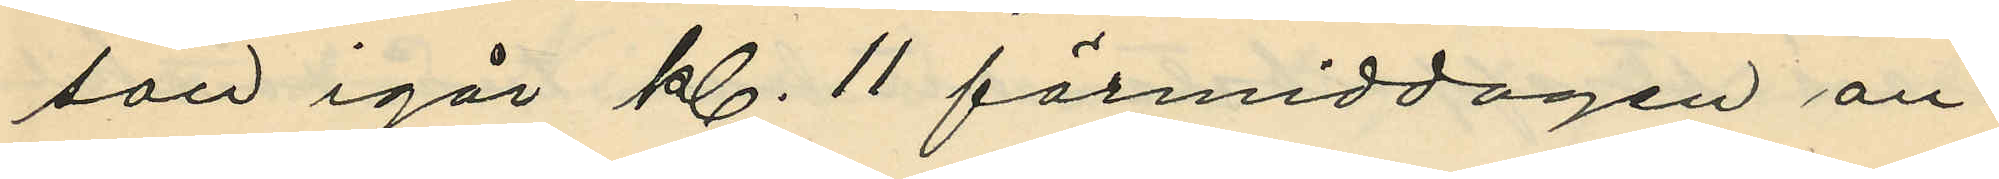son igår kl. 11 förmiddagen an¬
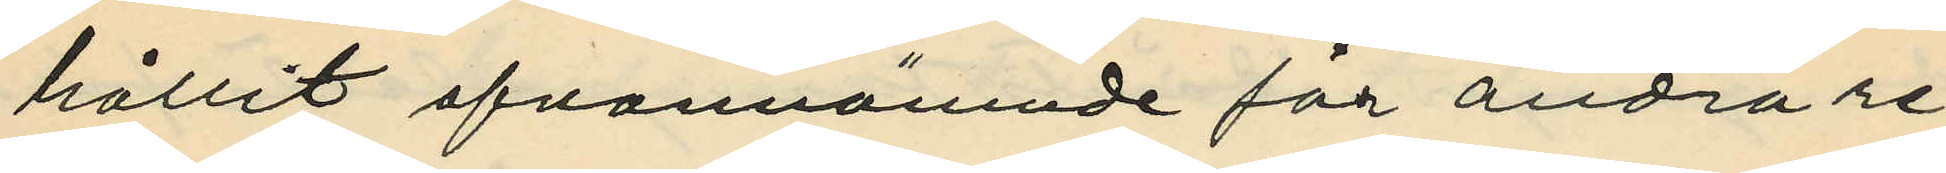hållit ofvannämnde för andra re¬
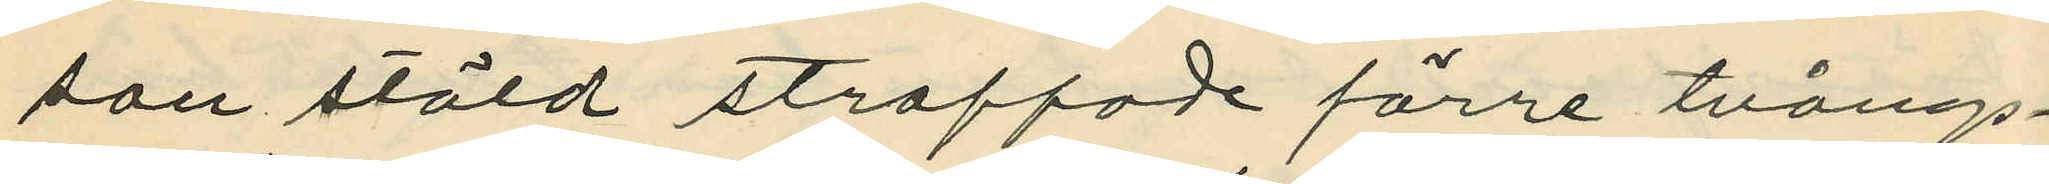san stöld straffade förre tvångs¬
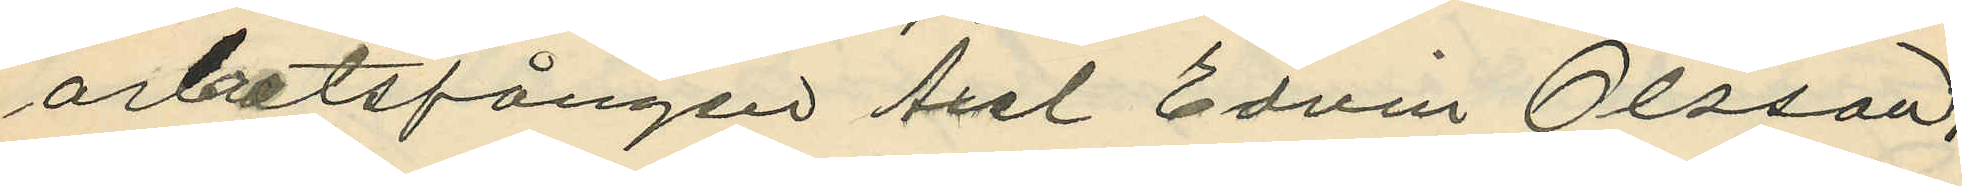arbetsfången Axel Edvin Olsson,
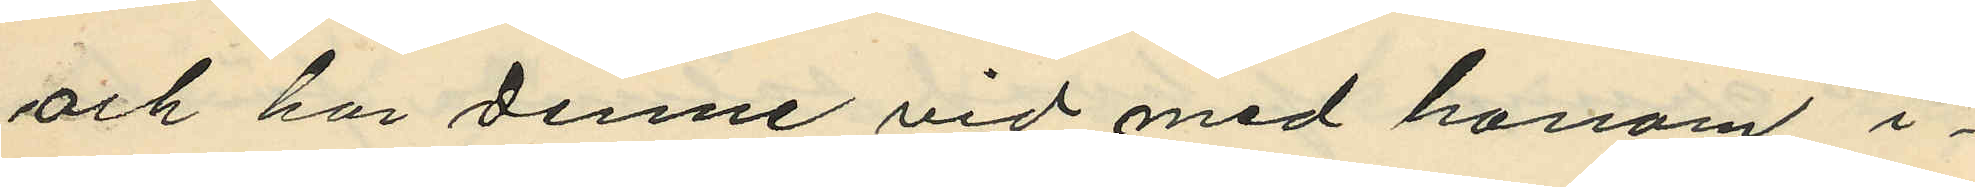och har denne vid med honom i
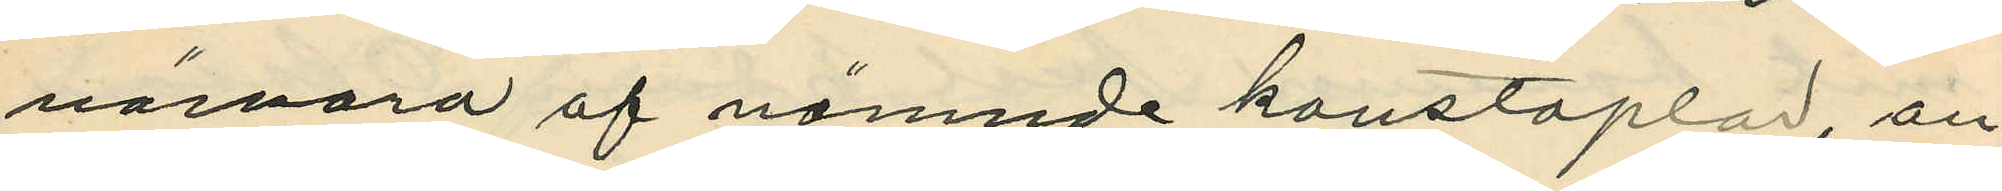närvaro af nämnde konstaplar, an¬
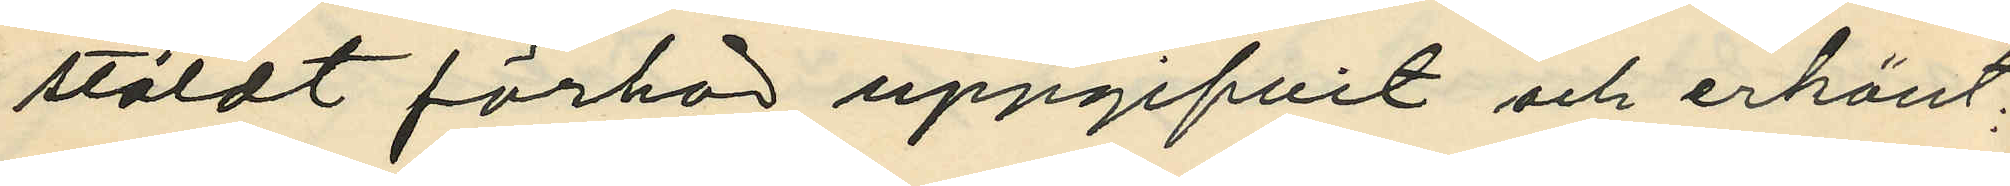stäldt förhör uppgifvit och erkänt:
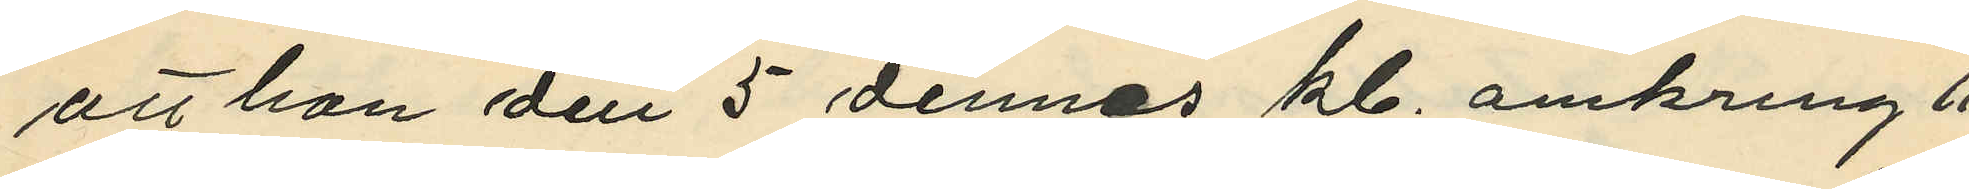att han den 5 dennes kl. omkring 11
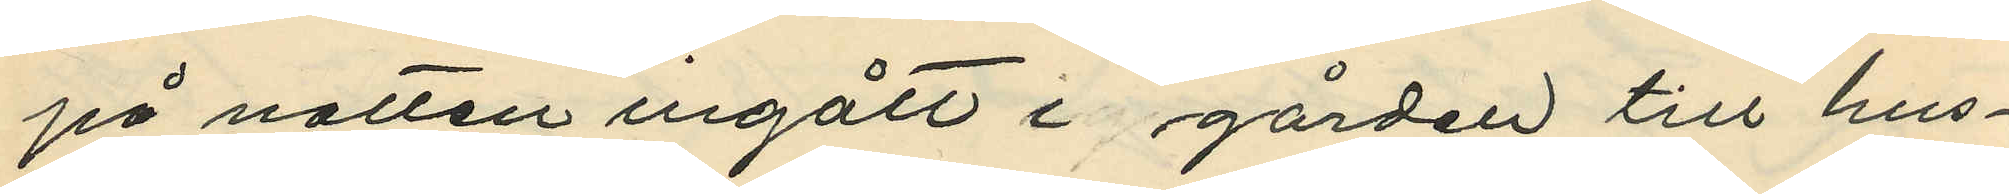på natten ingått i gården till hus¬
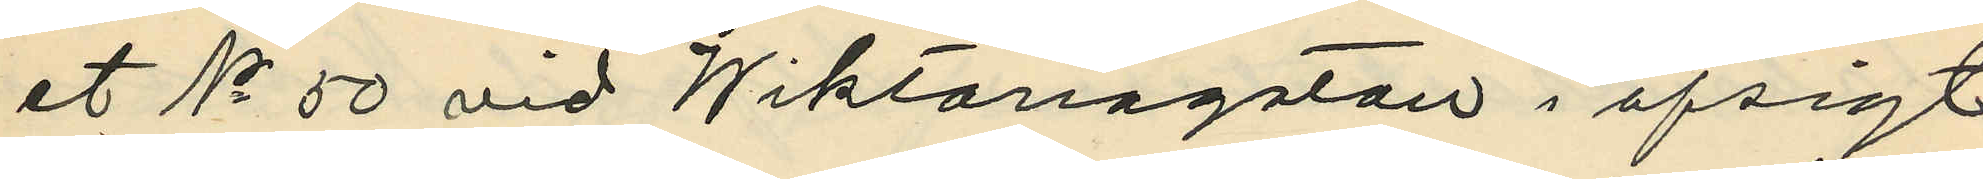et No 50 vid Wiktoriagatan i afsigt
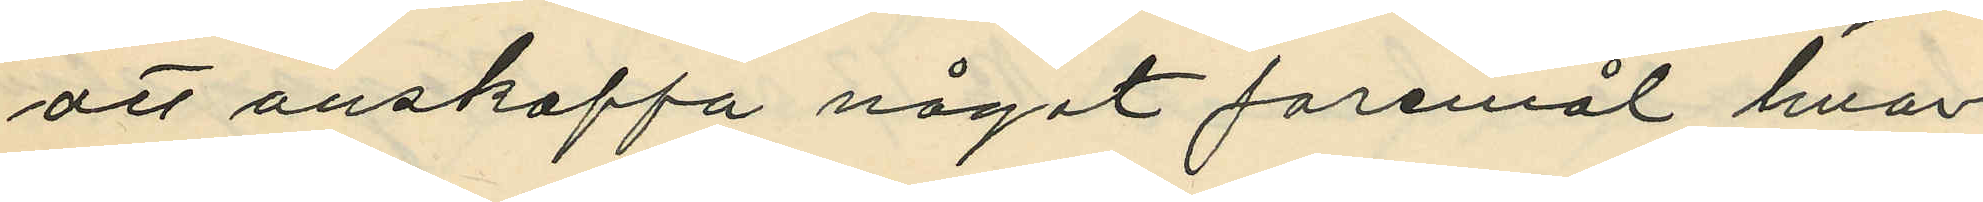att anskaffa något foremål hvar¬
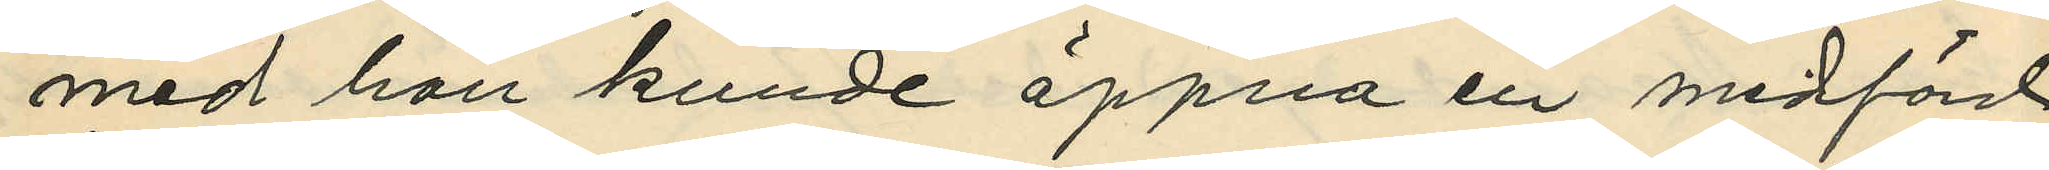med han kunde öppna en medförd
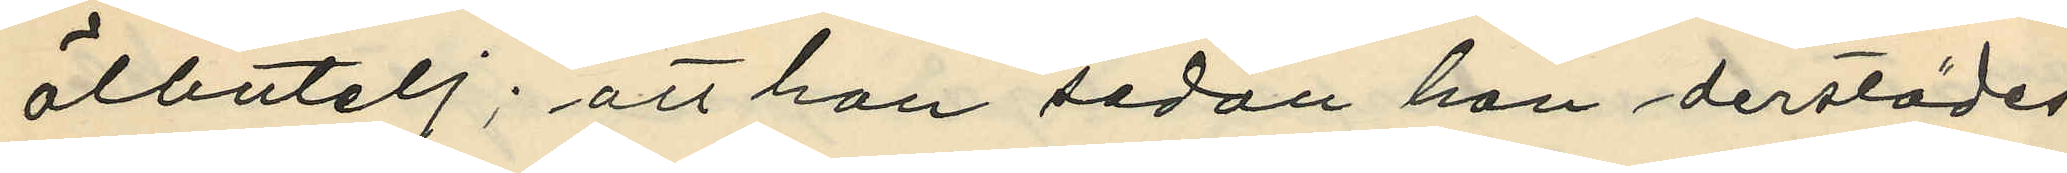ölbutelj; att han sedan han derstädes
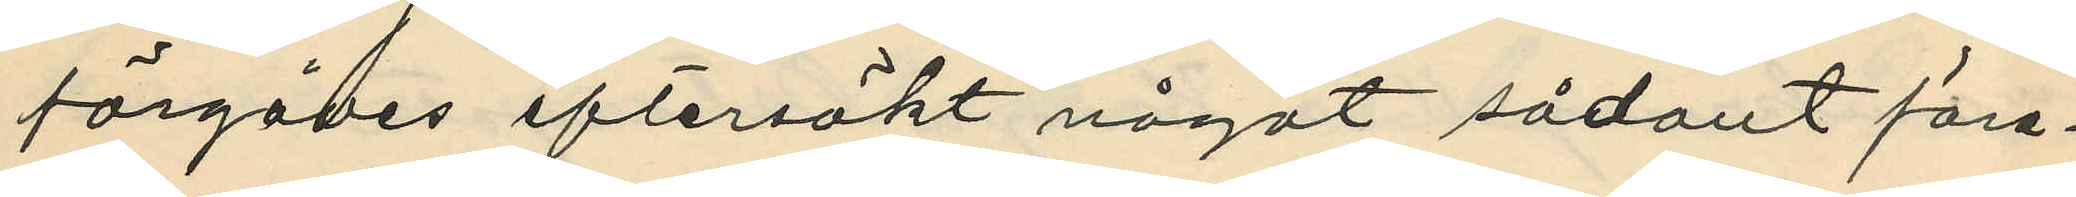förgäves eftersökt något sådant före¬
